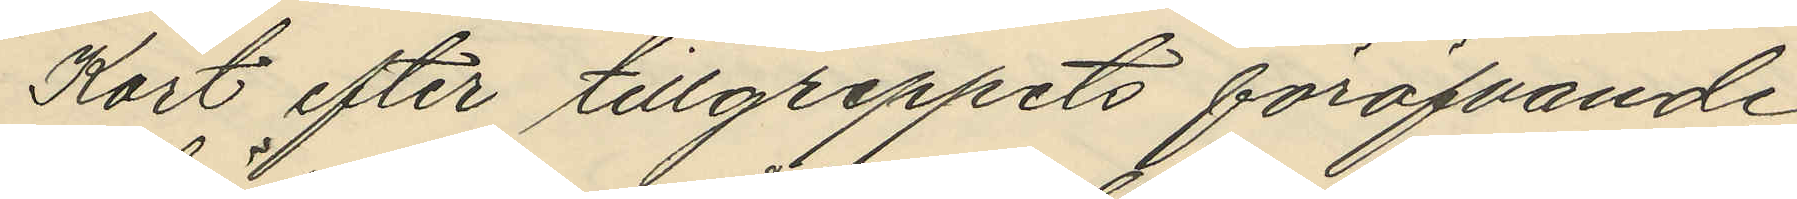Kort efter tillgreppets föröfvande
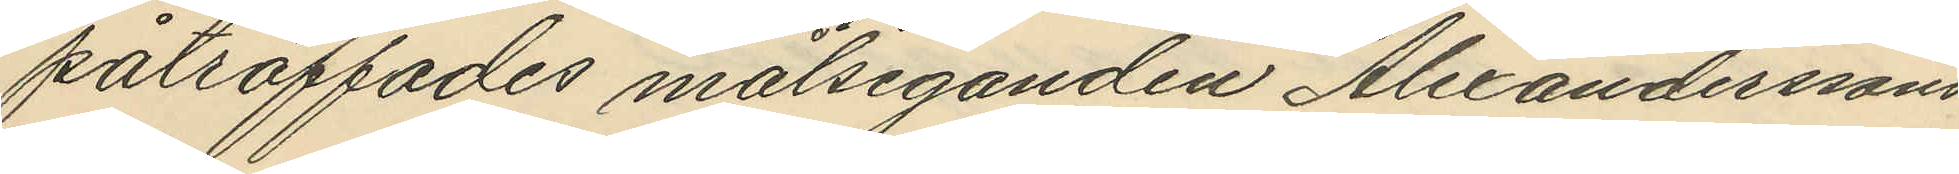påträffades målseganden Alexanderssons
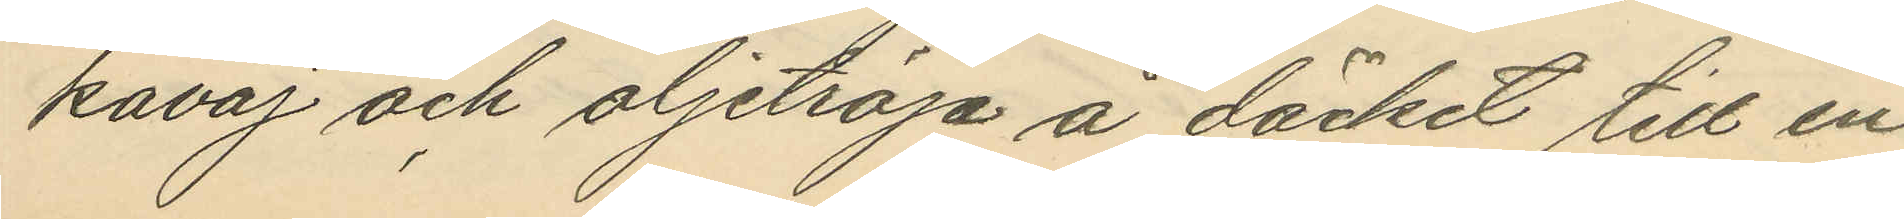kavaj och oljetröja å däcket till en
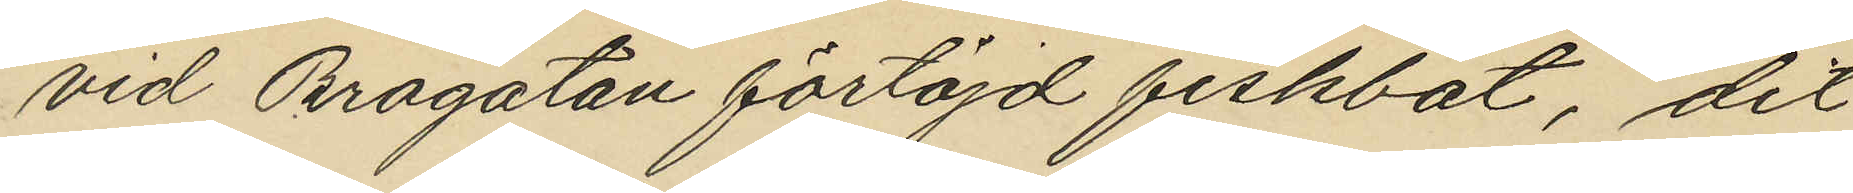vid Brogatan förtöjd fiskbåt, dit
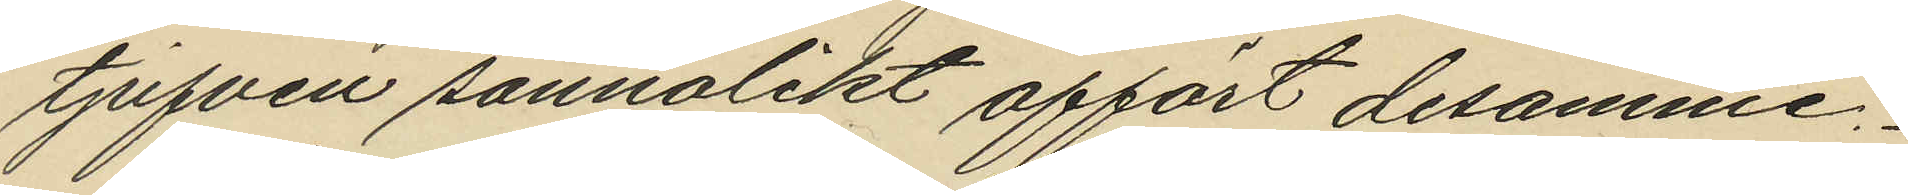tjufven sannolikt affört desamme.
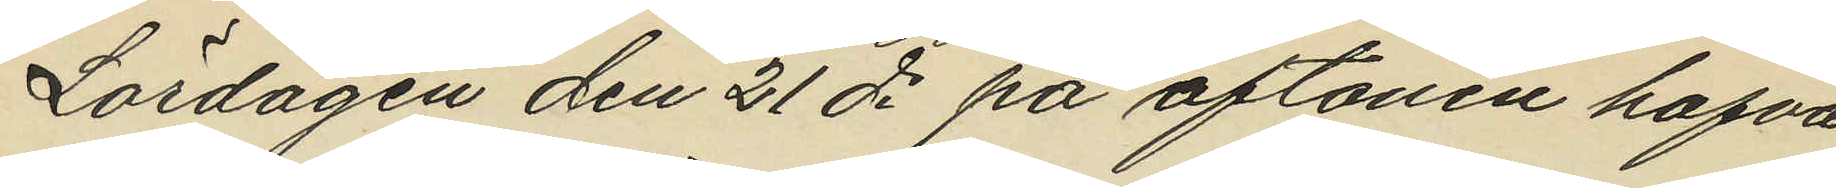Lördagen den 21 ds på aftonen hafva
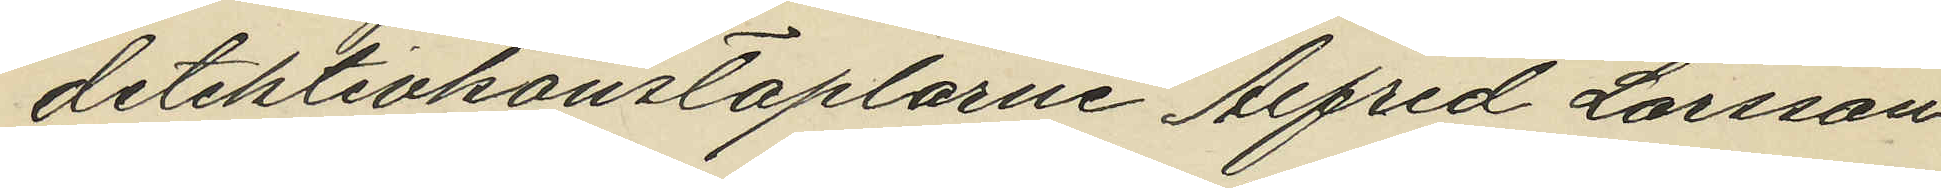detektivkonstaplarne Alfred Larsson
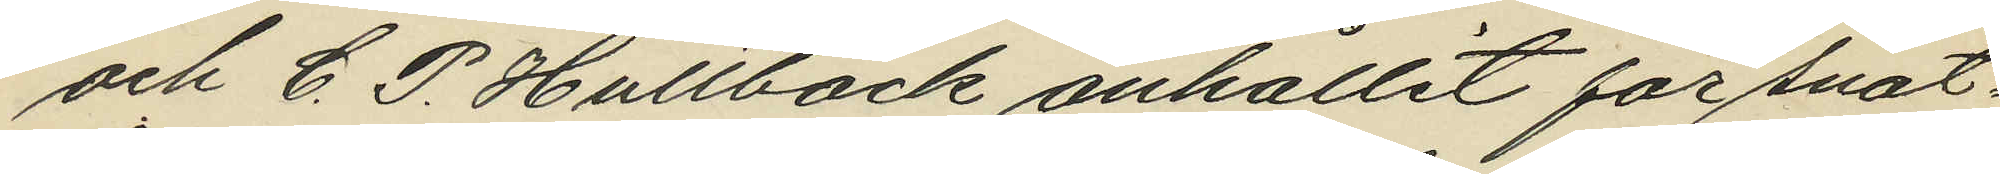och C. P. Hultbäck anhållit för snat¬
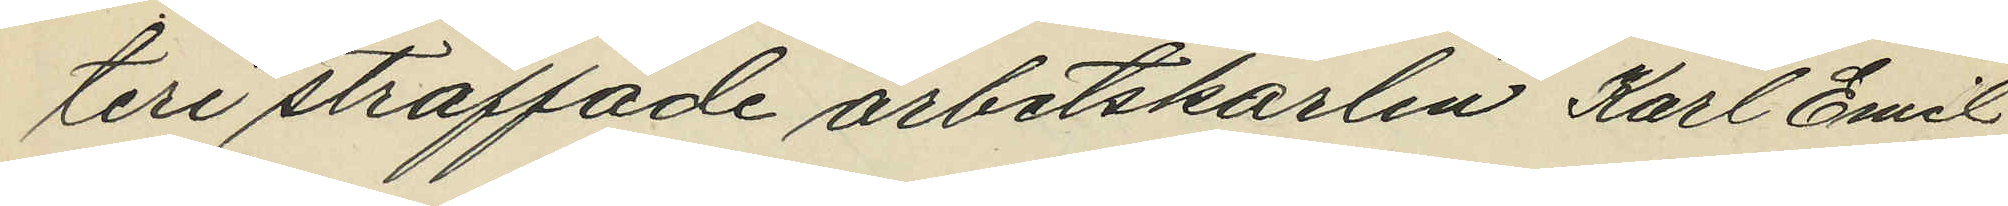teri straffade arbetskarlen Karl Emil
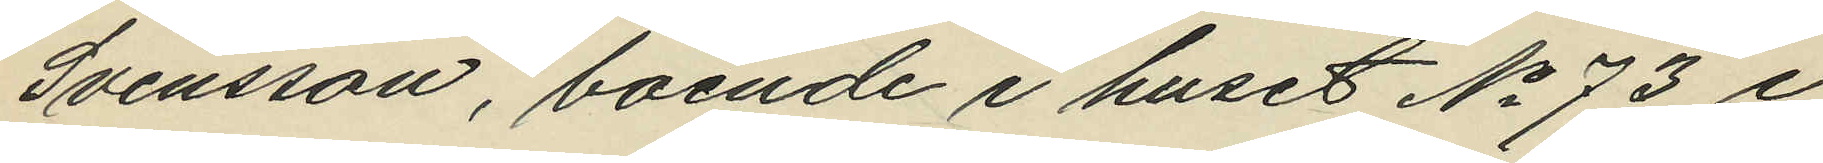Svensson, boende i huset No 73 i
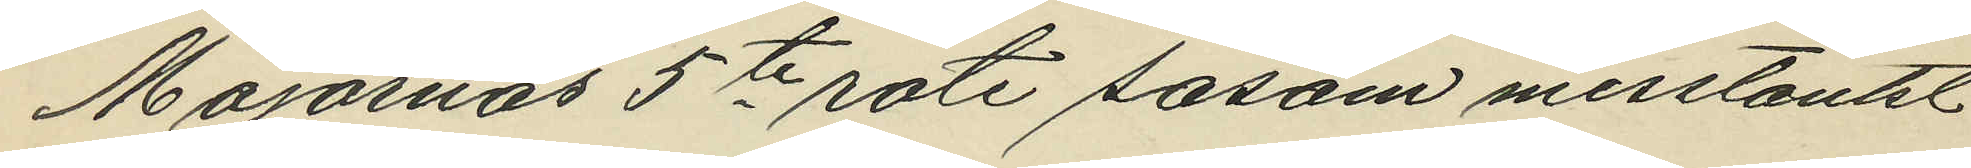Majornas 5te rote såsom misstänkt
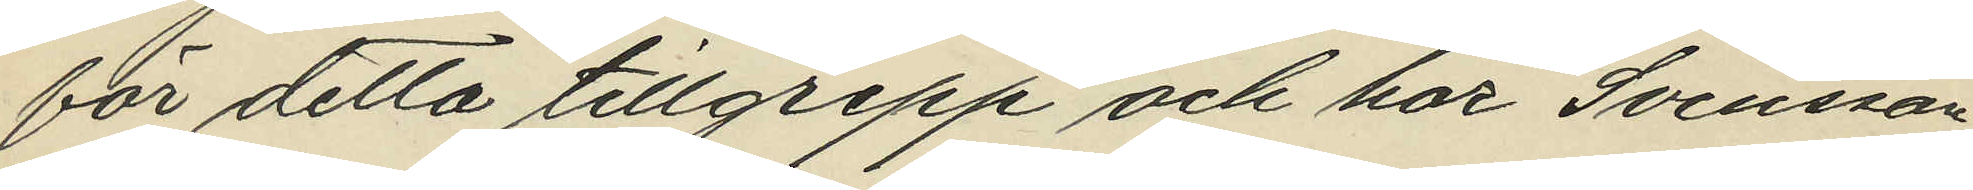för detta tillgrepp och har Svensson
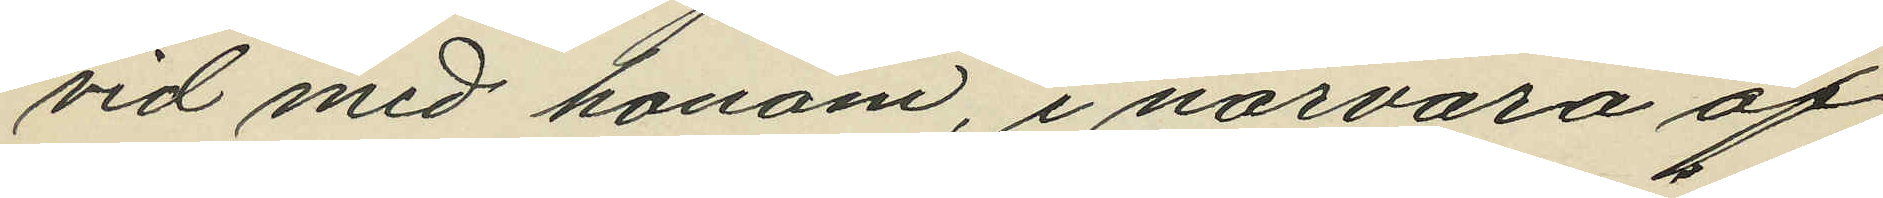vid med honom, i närvaro af
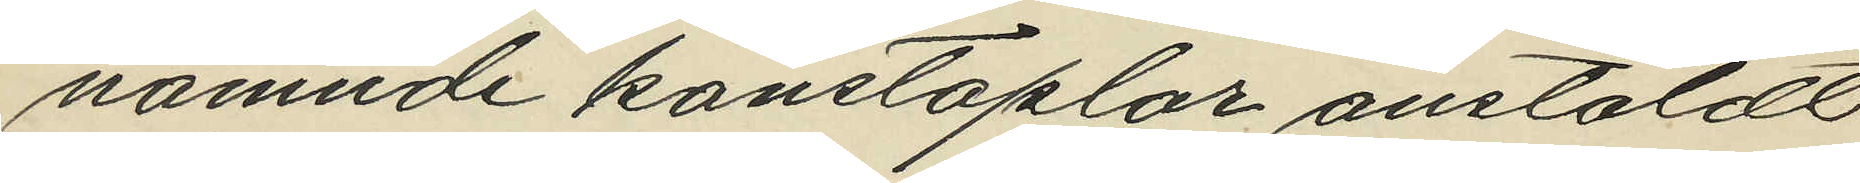nämnde konstaplar anstäldt
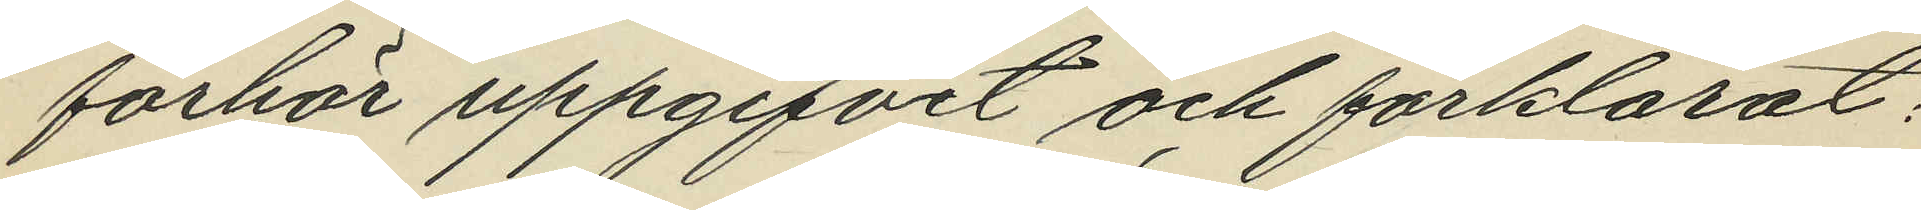förhör uppgifvit och förklarat:
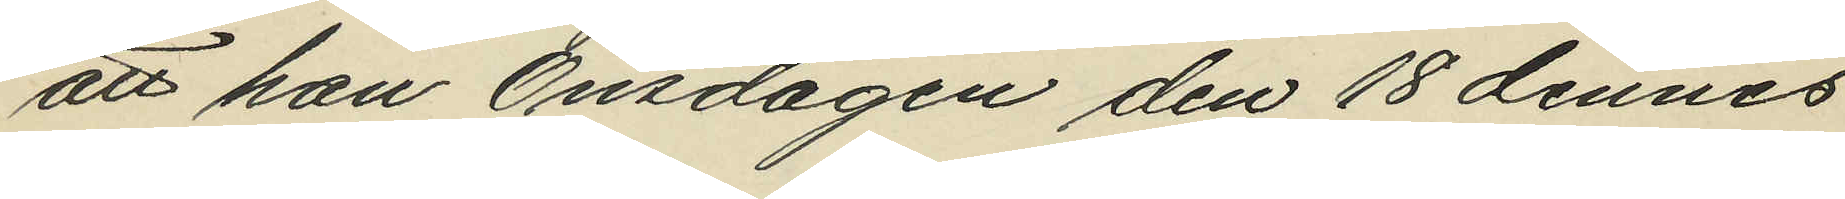att han Onsdagen den 18 dennes
